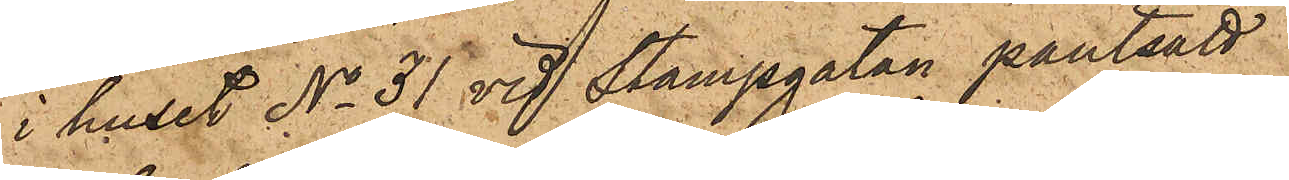i huset No 31 vid Stampgatan pantsatt
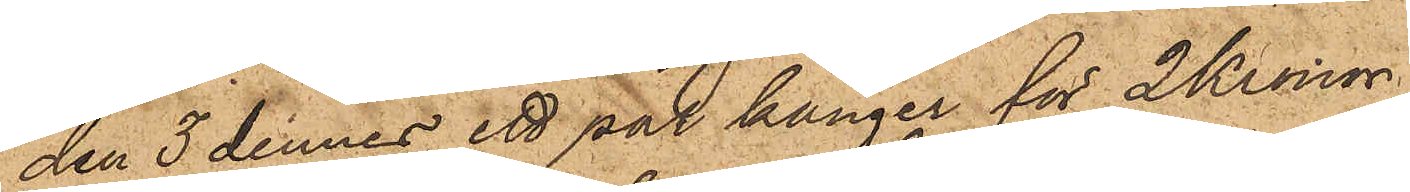den 3 dennes ett par känger för 2 Kronor.
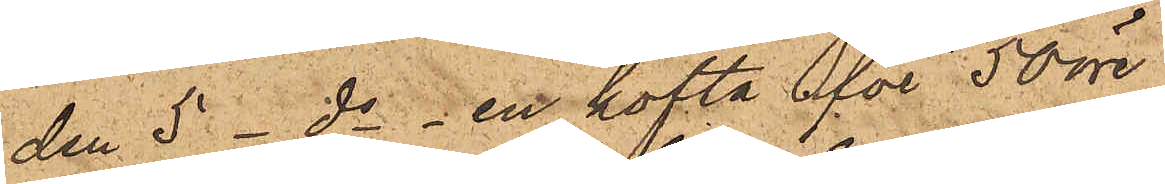den 5 - ds - en kofta för 50 öre
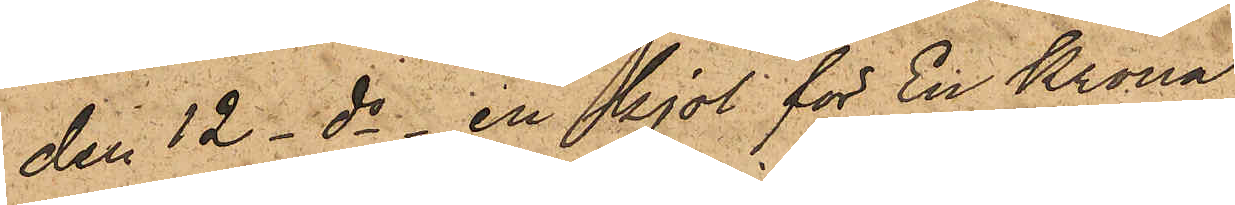den 12 - ds - en kjol för En Krona
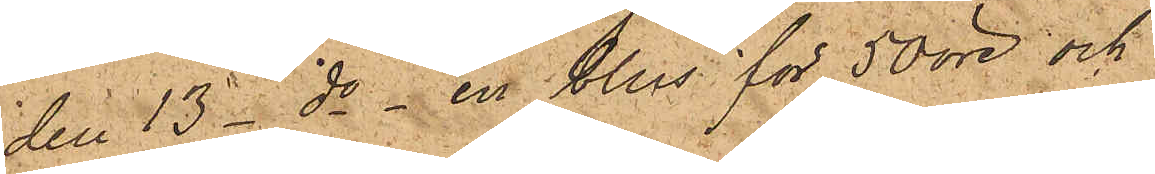den 13 - ds - en blus för 50 öre och
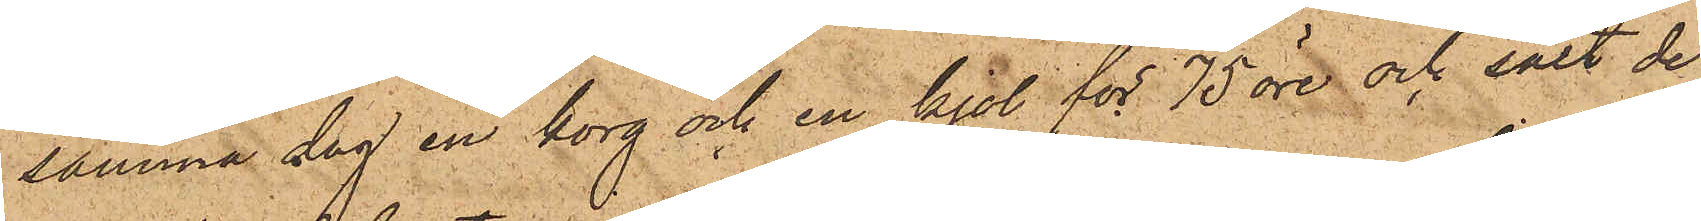samma dag en korg och en kjol för 75 öre och sålt de
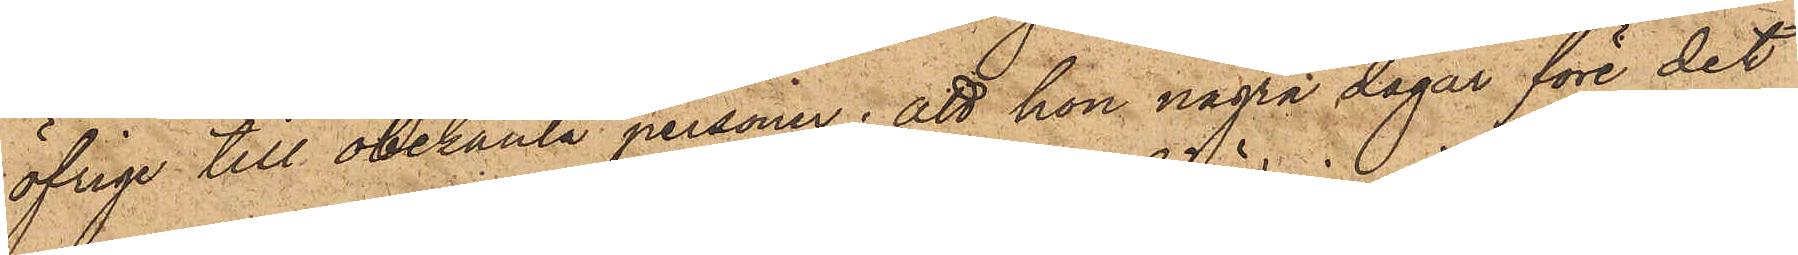öfriga till obekanta personer; att hon några dagar före det
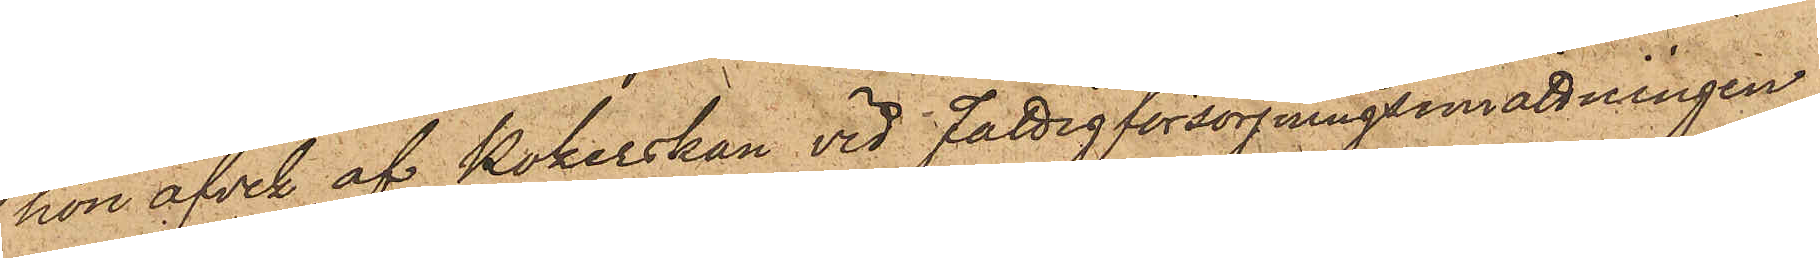hon afvik af Kokerskan vid Fattigförsörjningsinrättningen
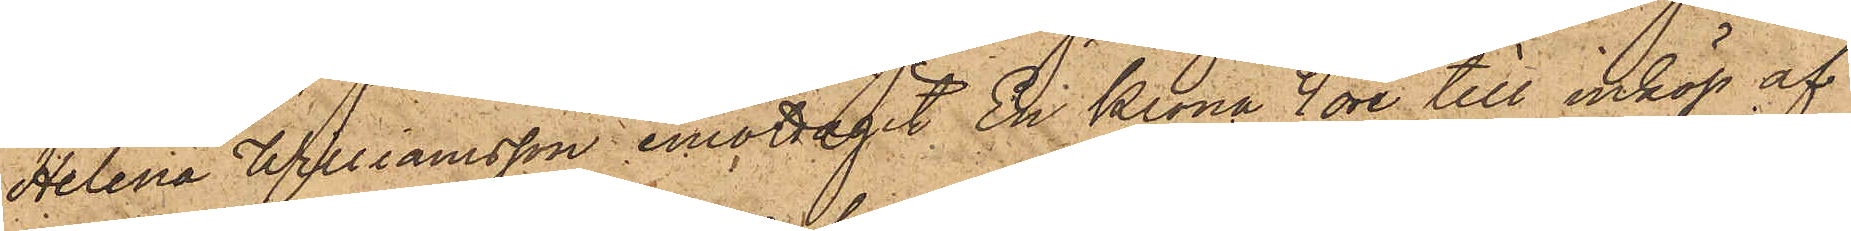Helena Williamsson emottagit En Krona 4 öre till inköp af
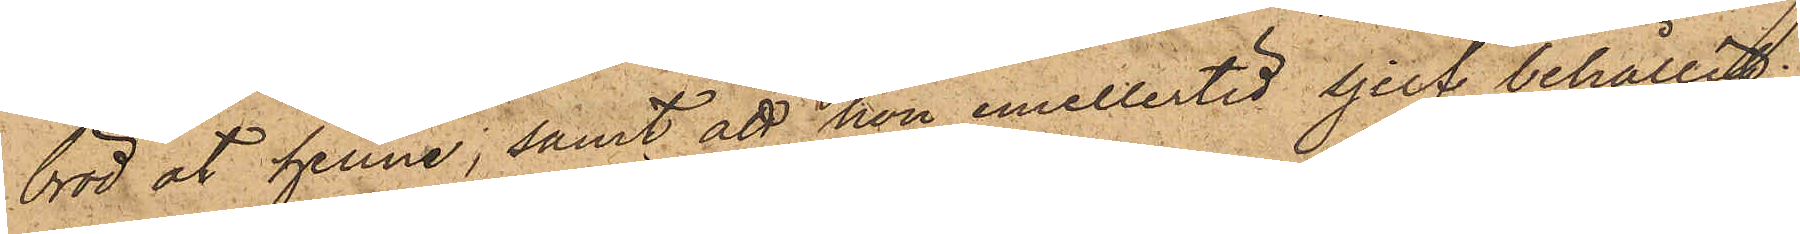bröd åt henne, samt att hon emellertid sjelf behållit
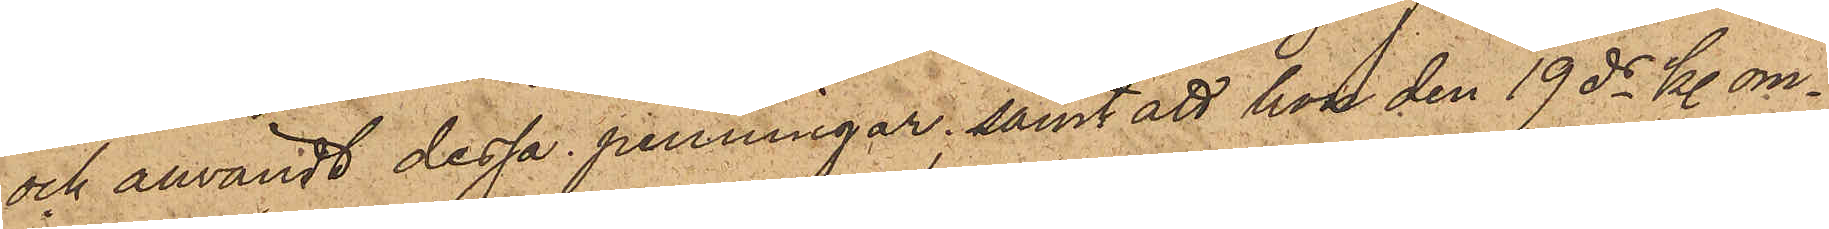och användt dessa penningar; samt att hon den 19 ds kl. om¬
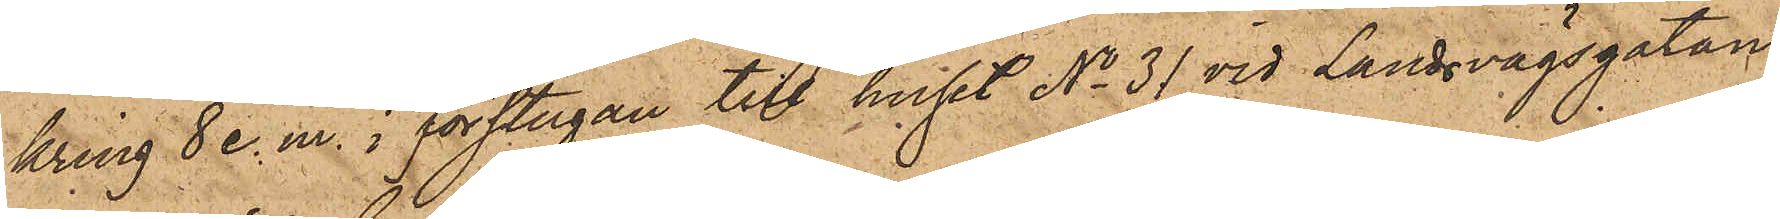kring 8 e. m. i förstugan till huset No 31 vid Landsvägsgatan
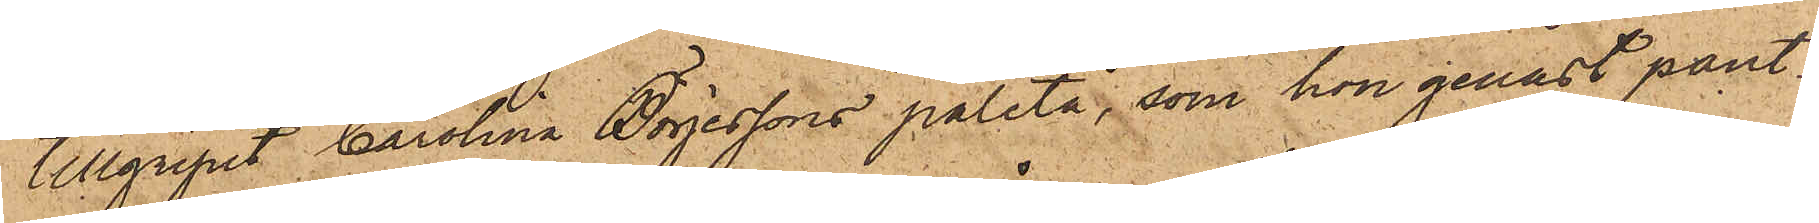tillgripit Carolina Börjessons paletå, som hon genast pant¬
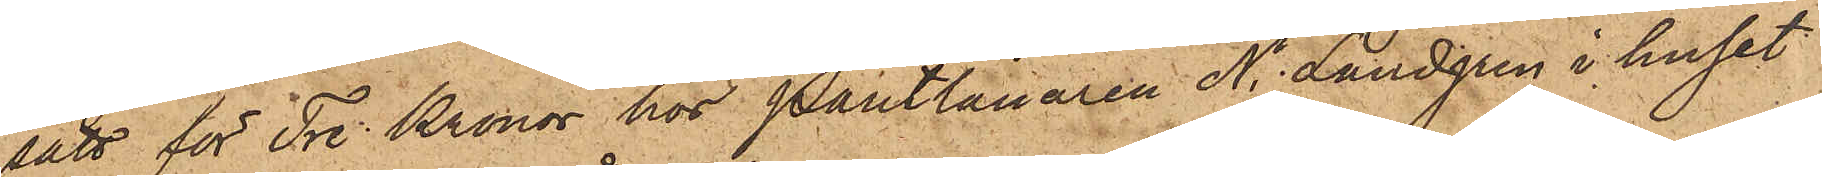satt för Tre Kronor hos Pantlånaren N. Landgren i huset
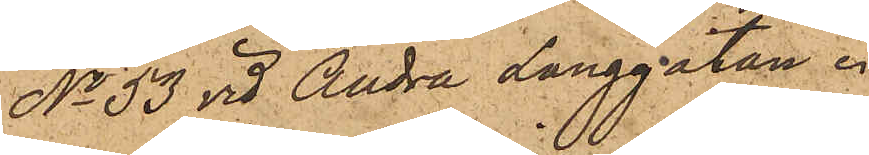No 33 vid Andra Långgatan.
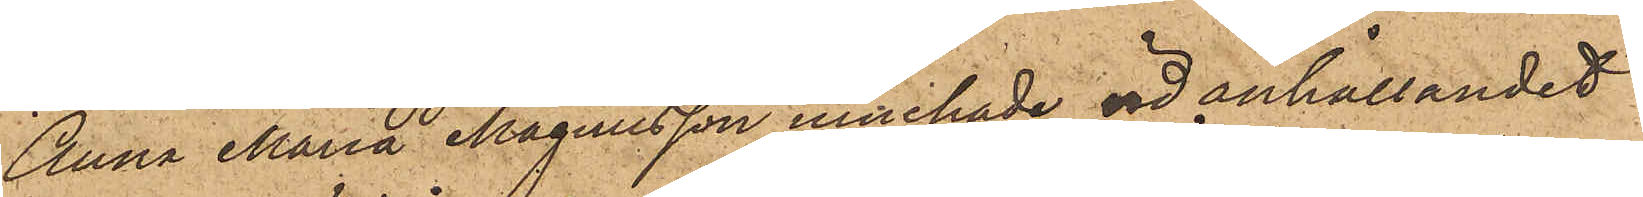Anna Maria Magnusson innehade vid anhållandet
